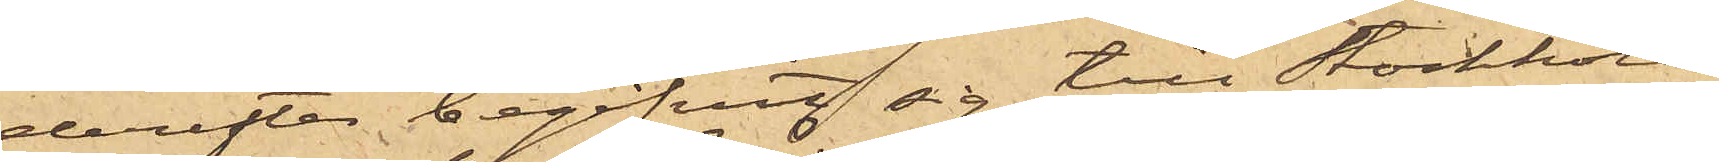derefter begifvit sig till Stockholm,
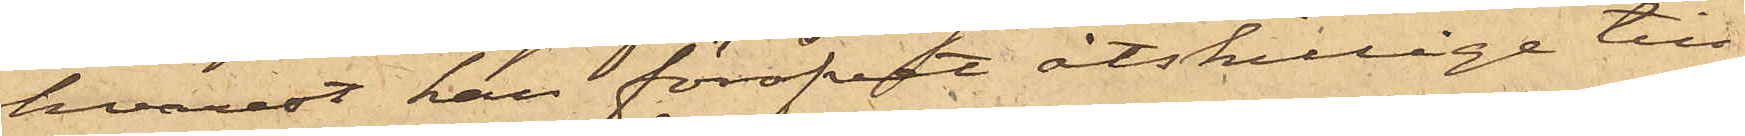hvarest han föröfvat åtskillige till¬
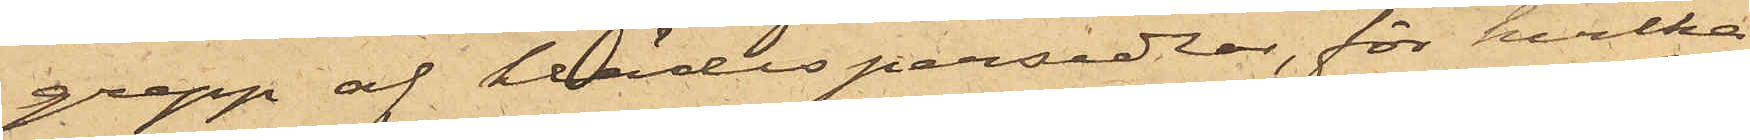grepp af klädespersedlar, för hvilka
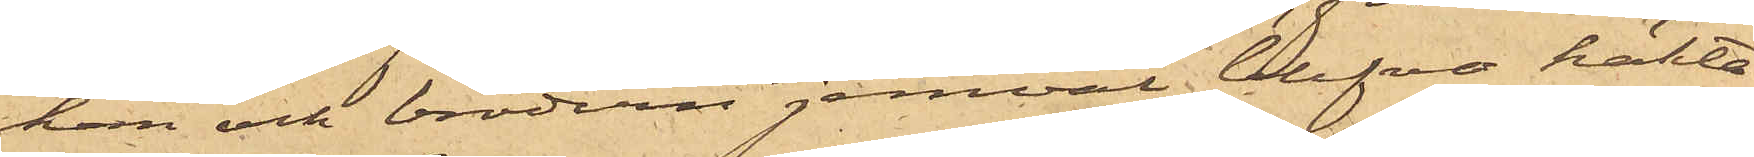han och brodern jemväl blefvo häkta¬
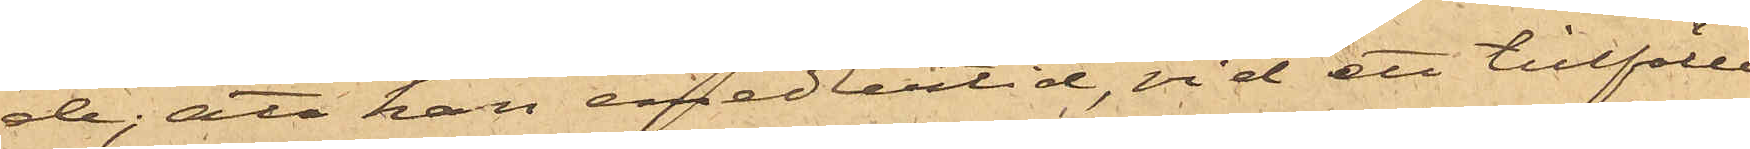de; att han emedlertid, vid ett tillfälle
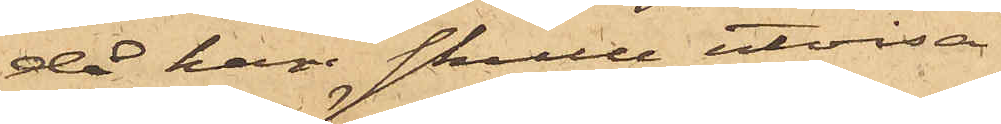då han skulle utvisa
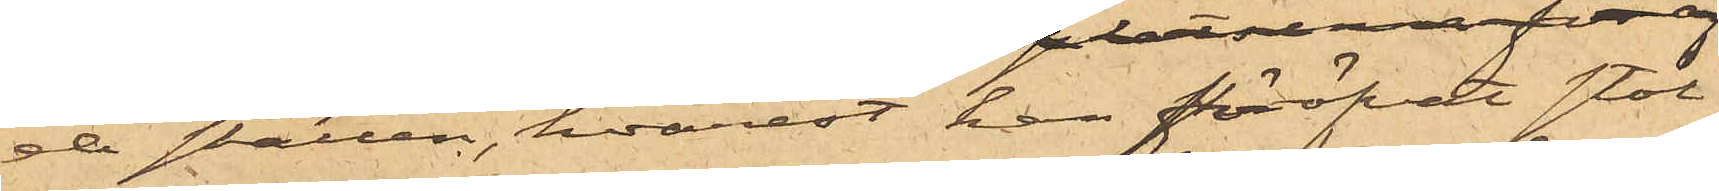de ställen, hvarest han föröfvat stöl¬
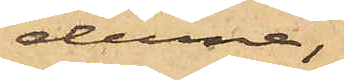derna,
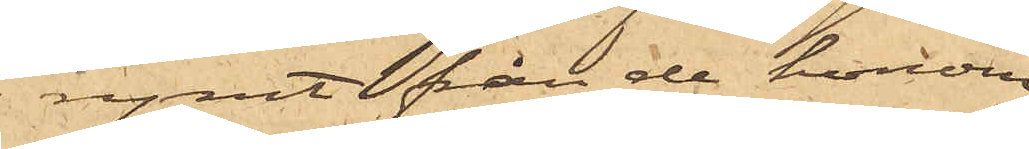rymt från de honom
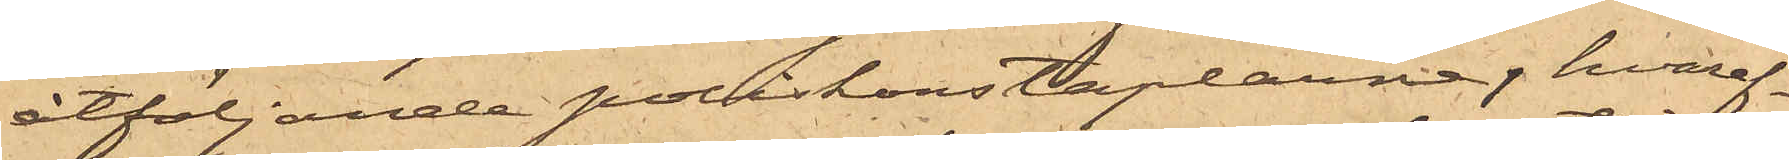åtföljande poliskonstaplarne, hvaref¬
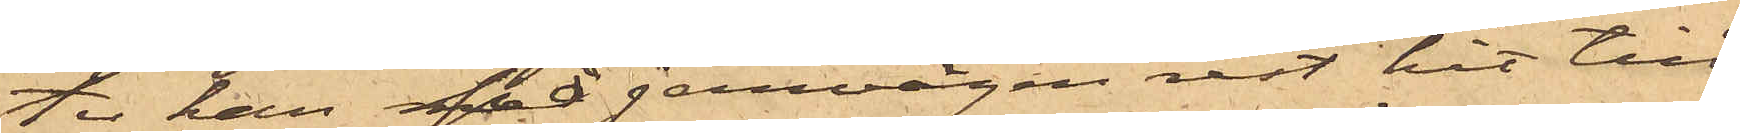ter han på jernvägen rest hit till
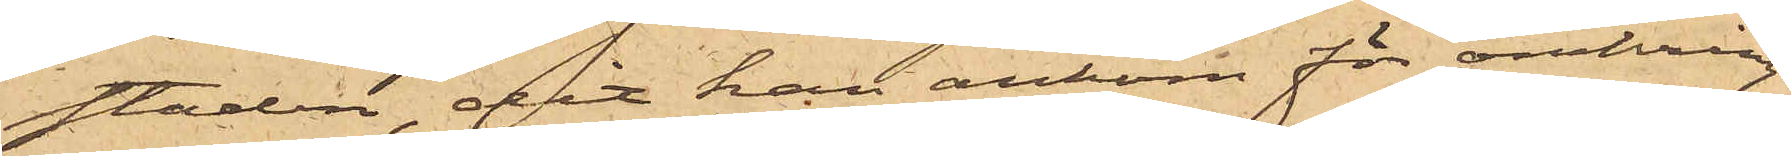staden, dit han ankom för omkring
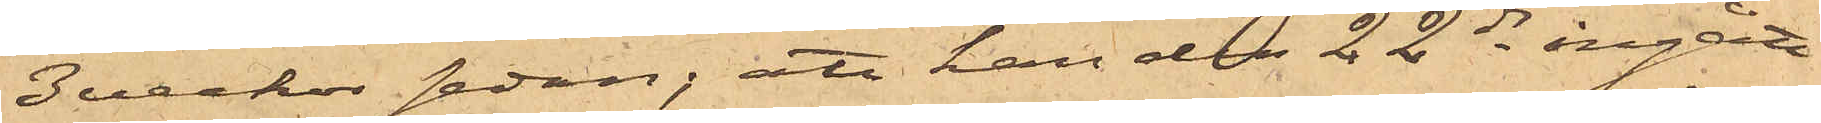3 veckor sedan; att han den 22 ds ingått
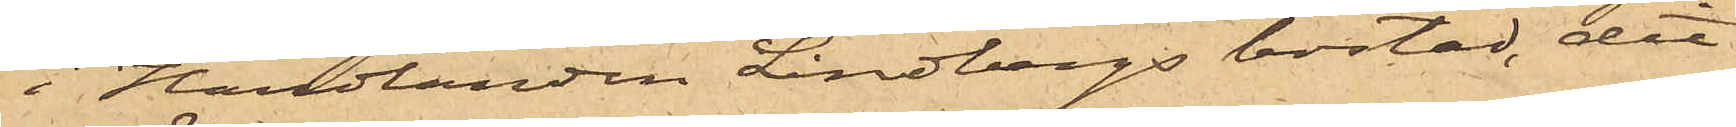i Handlanden Lindbergs bostad, dit
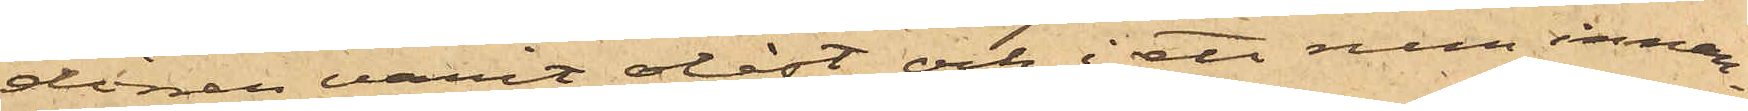dörren varit olåst, och i ett rum innan¬
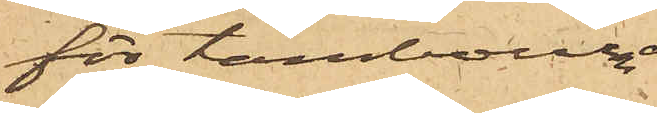för tambouren
